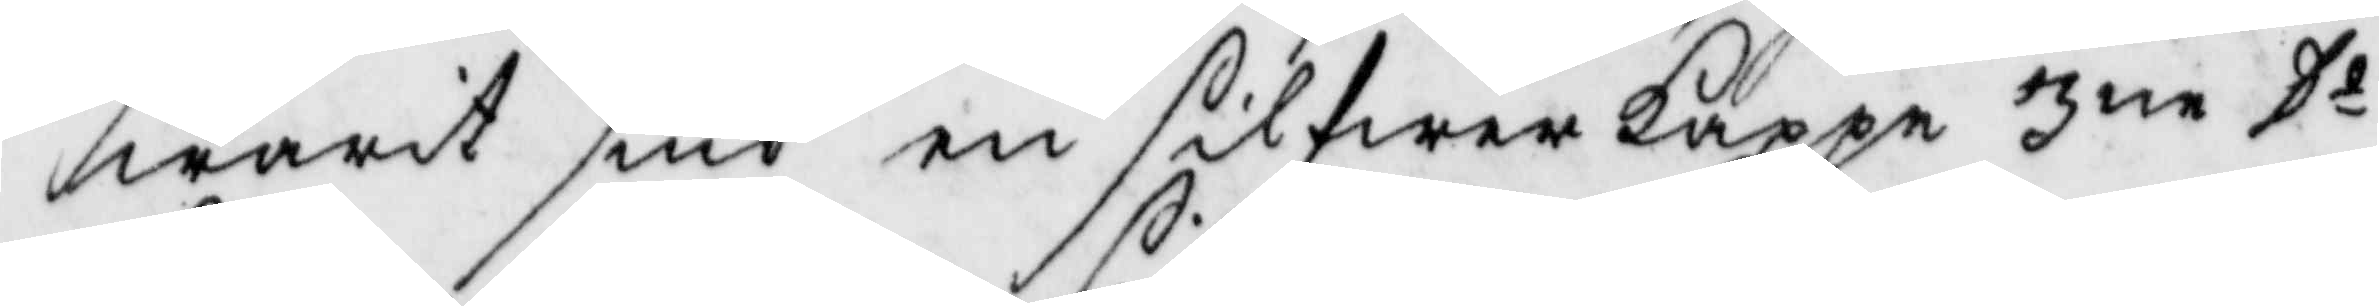warit siuk en solfwerkappe 3ne Do
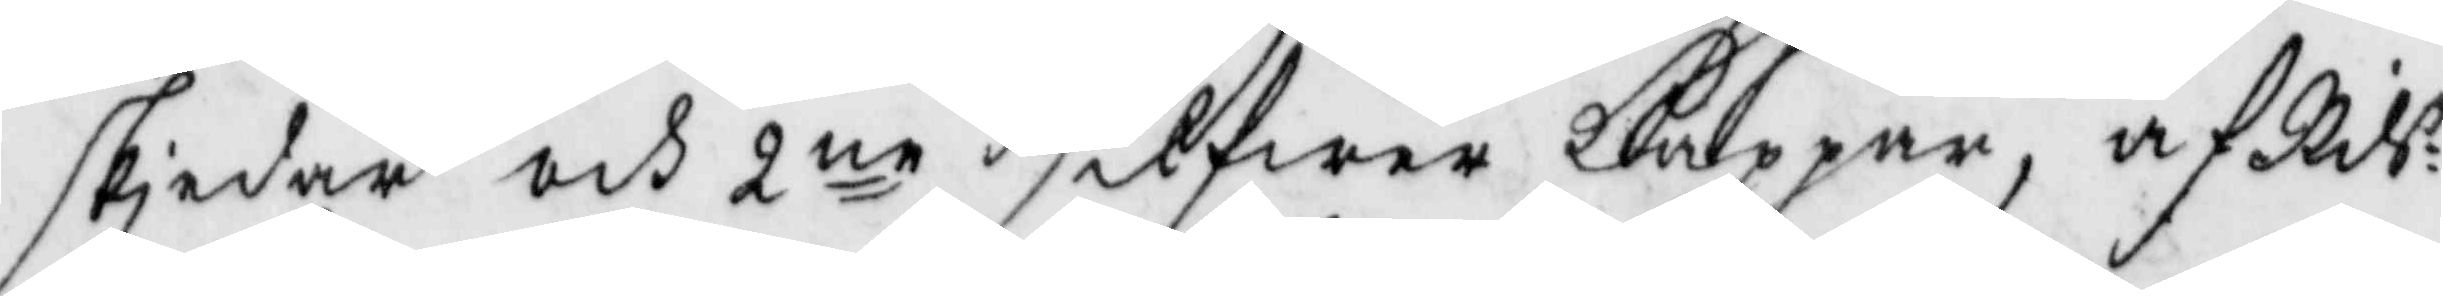skiedar och 2ne silfwer kappar, af Nils
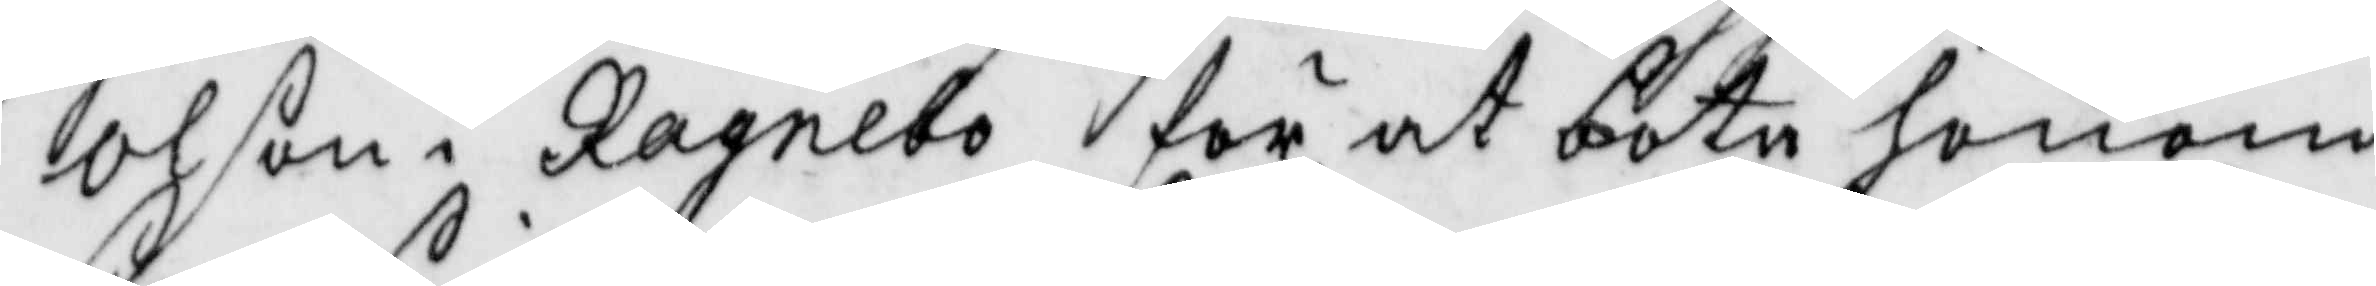Olson i Ragelbo för at bota honom
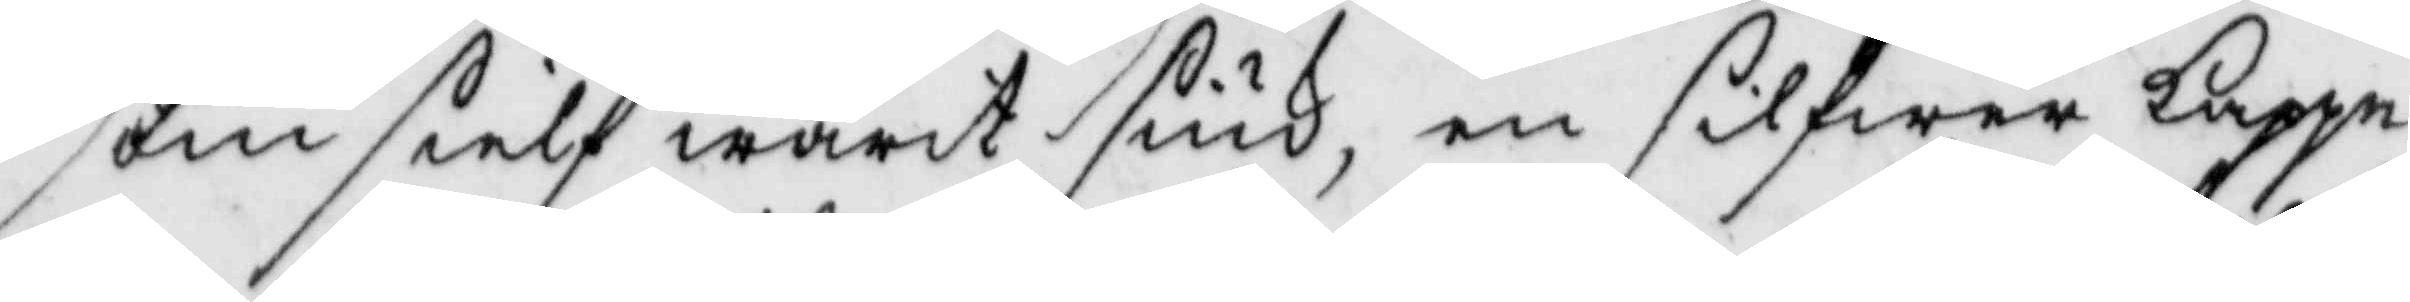som sielf warit siuk, en silfwer kappe
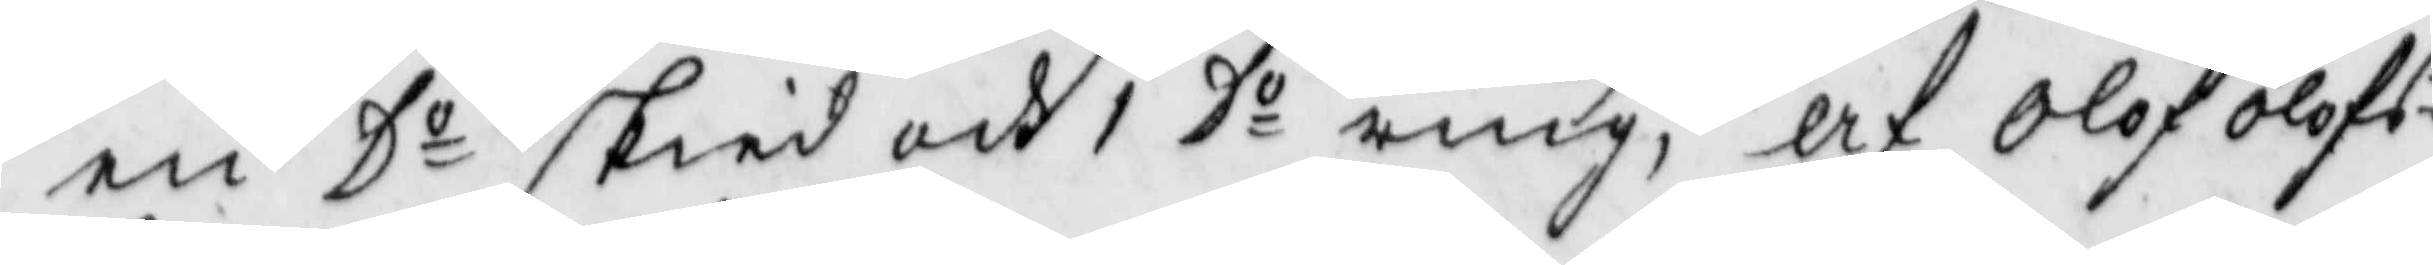en Do skied och 1 Do ring, af Olof Olofs¬
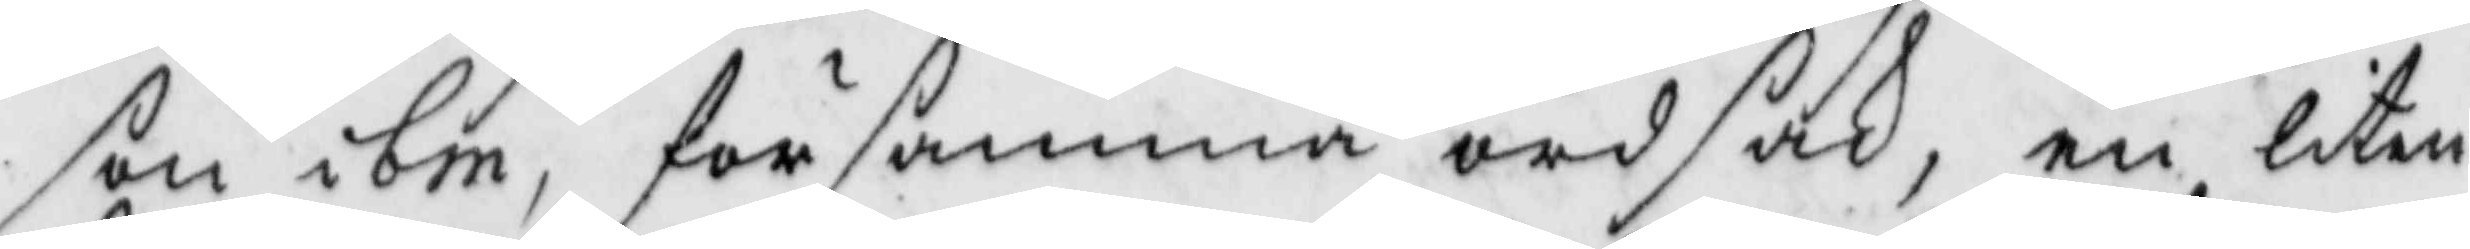son ibm, för samma ordsak, en liten
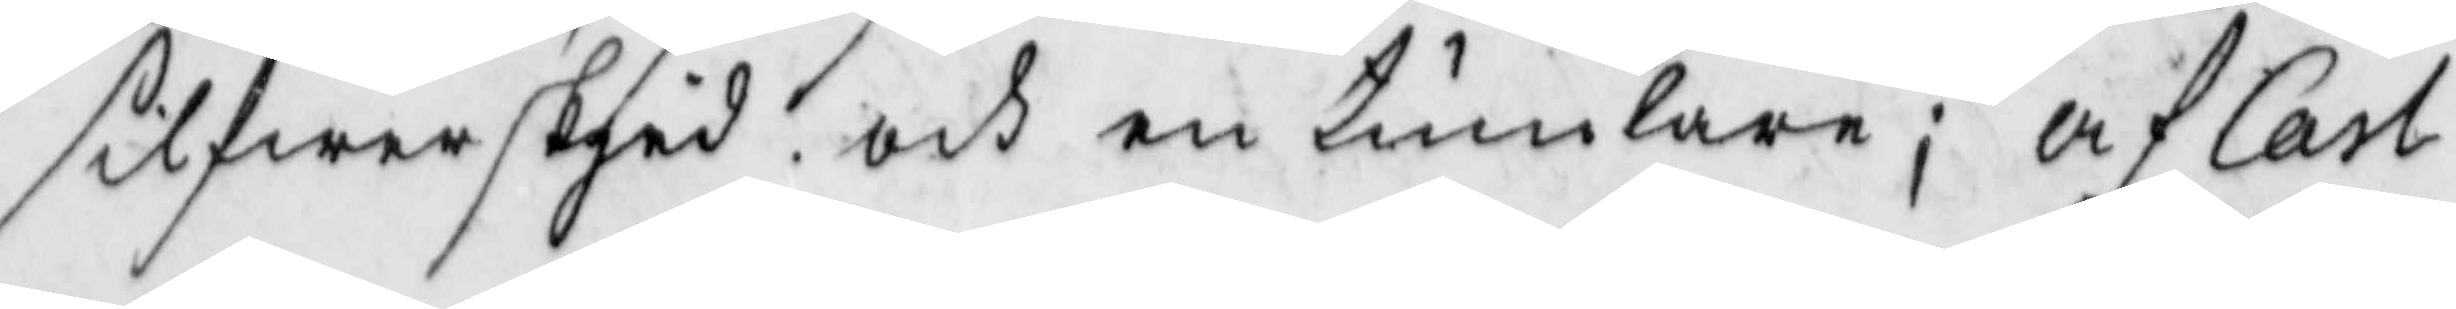silfwer skied och en tumblare; af Carl
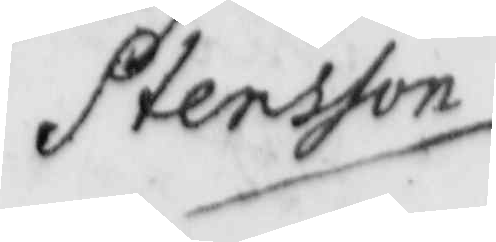Stensson
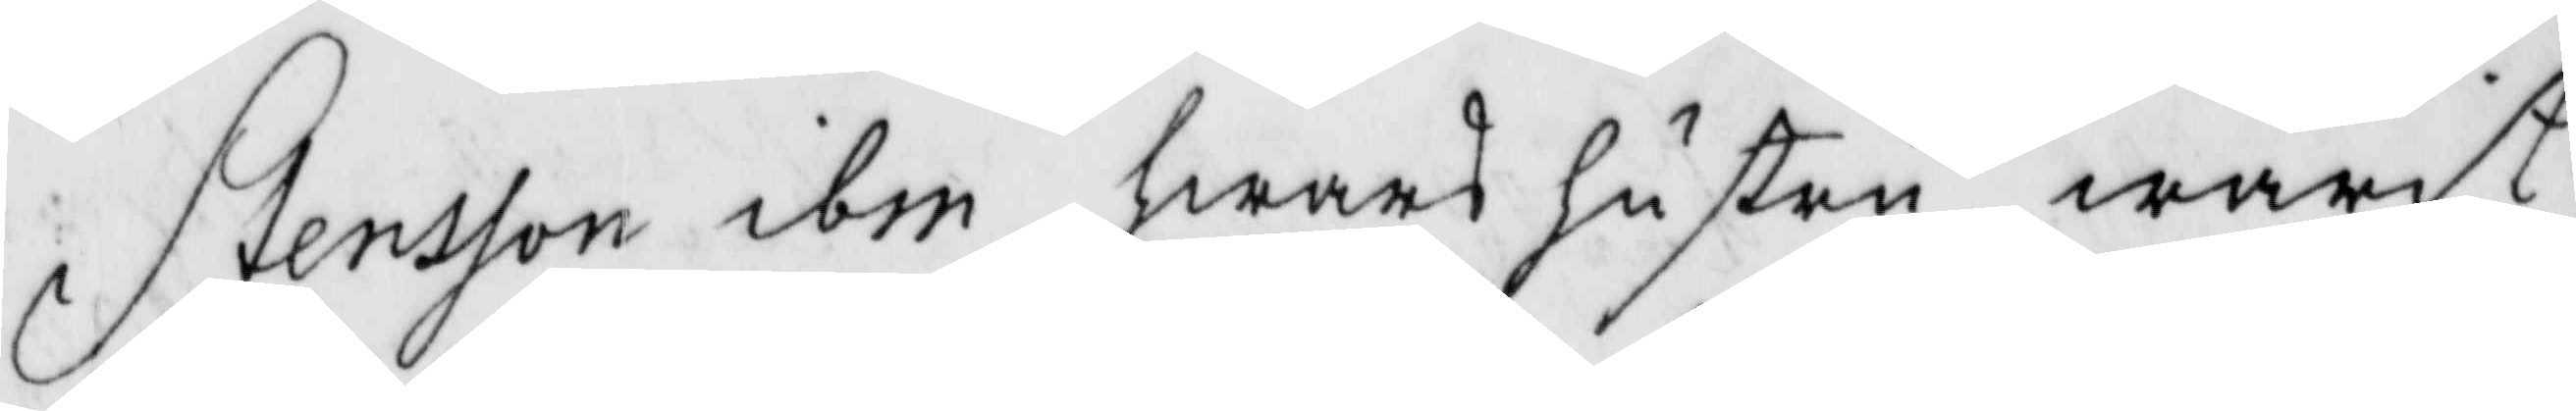Stensson ibm hwars hustru warit
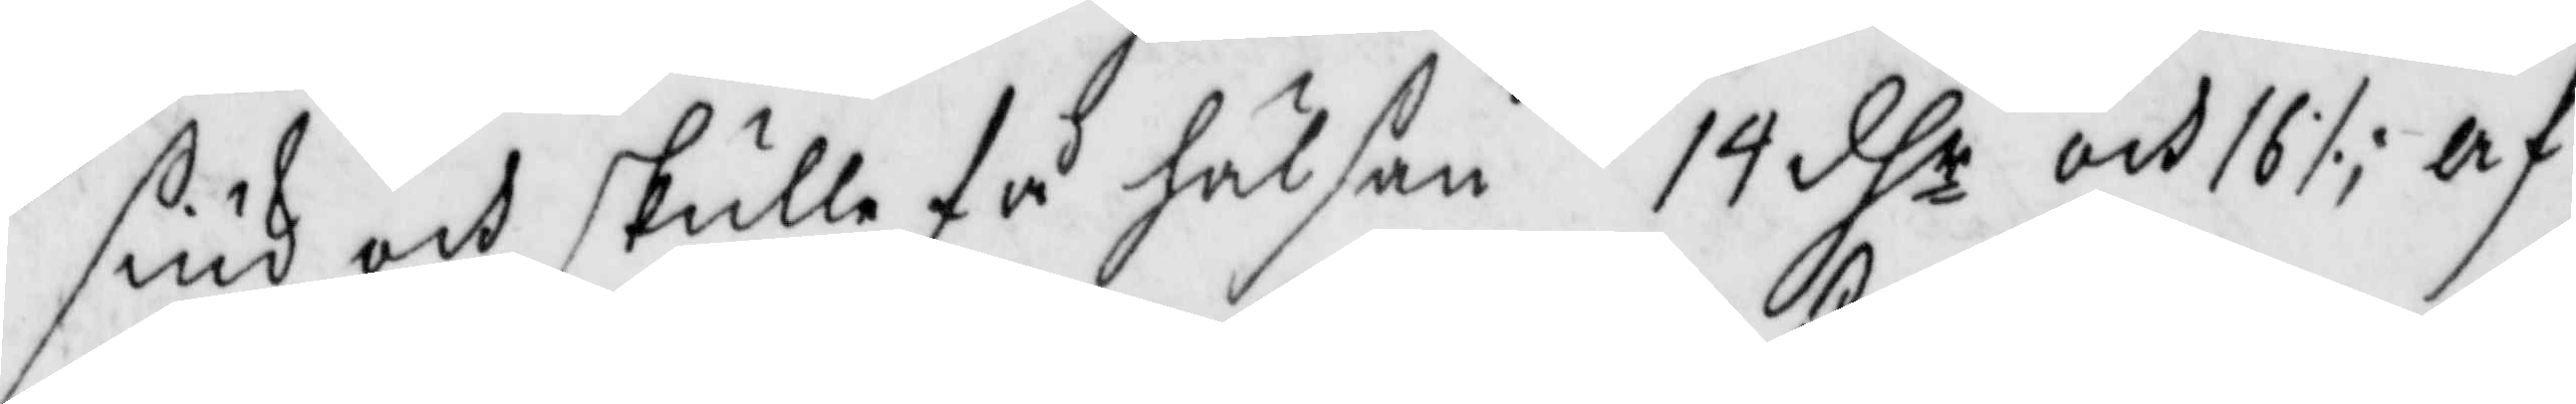siuk och skulle få hälsan 14 dhr och 16 ./.; af
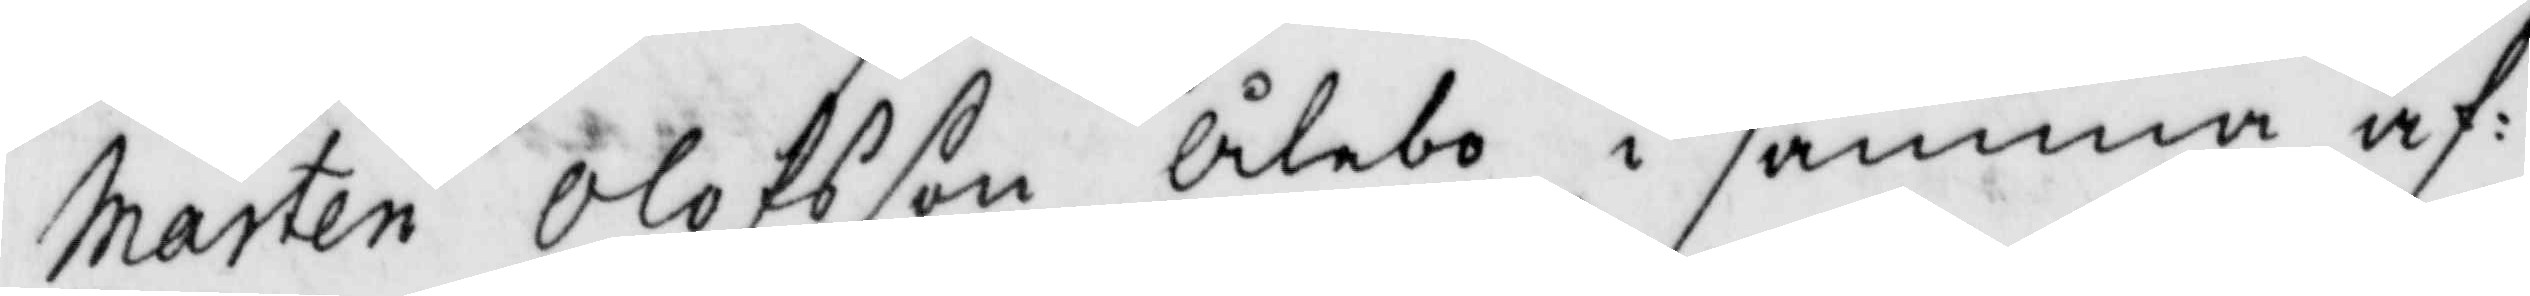Mårten Olofsson Ålebo i samma af¬
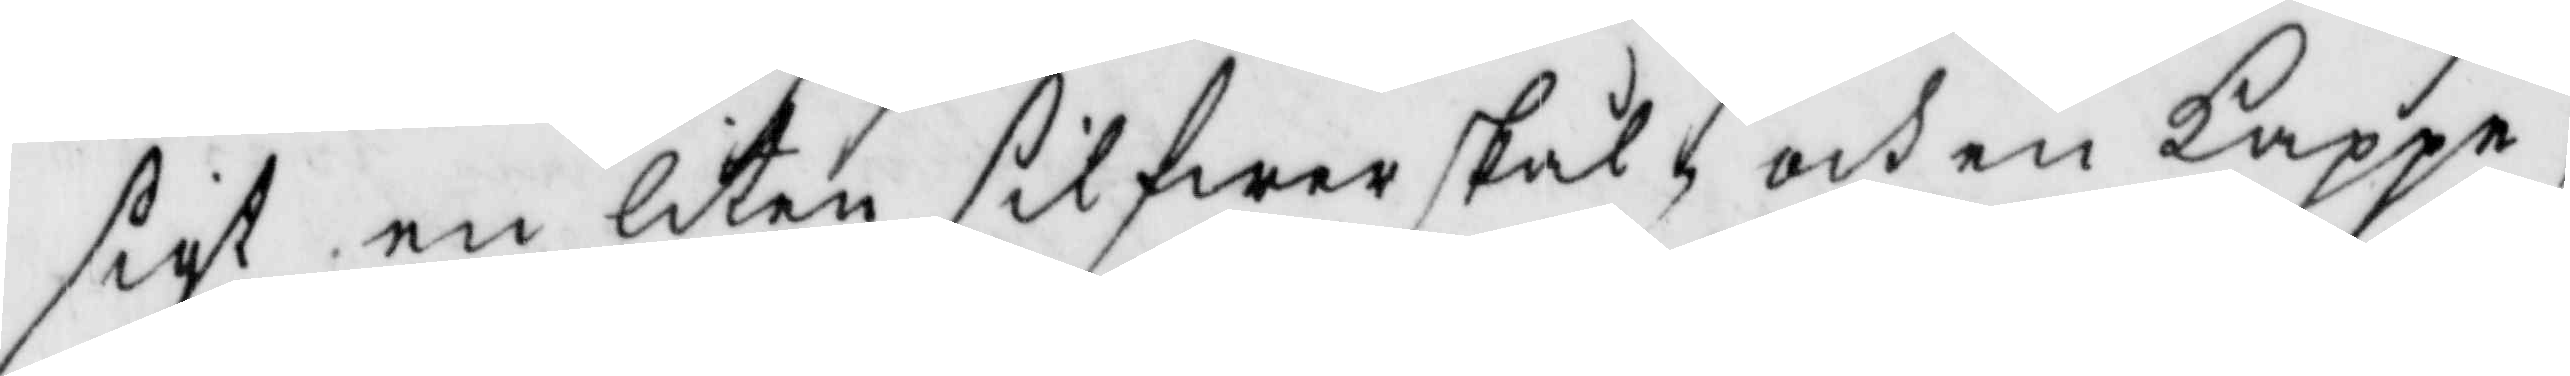sigt en liten silfwerskål, och en kappe;
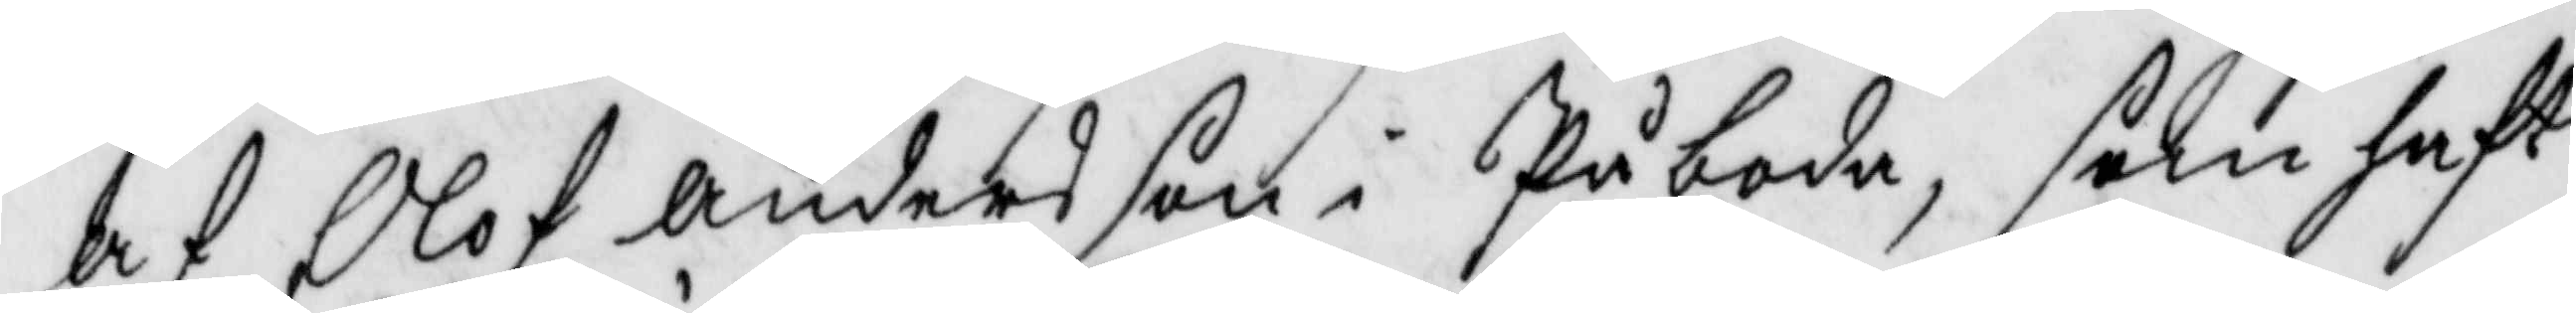af Olof Andersson i Påboda, som haft
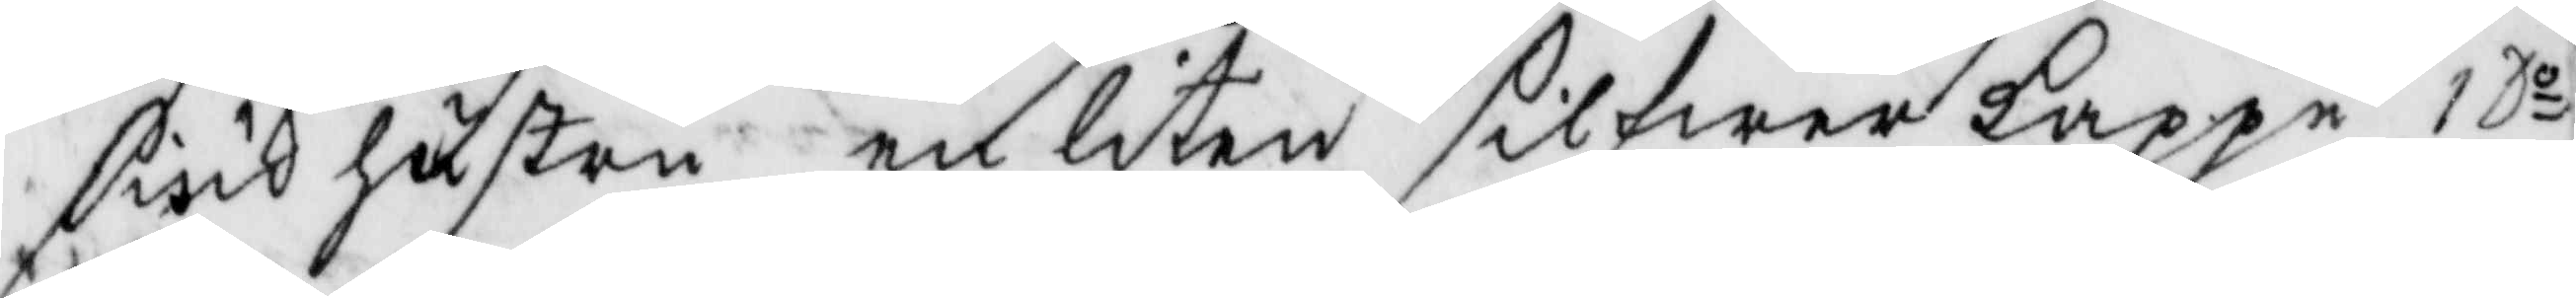siuk hustru en liten silfwerkappe 1 Do
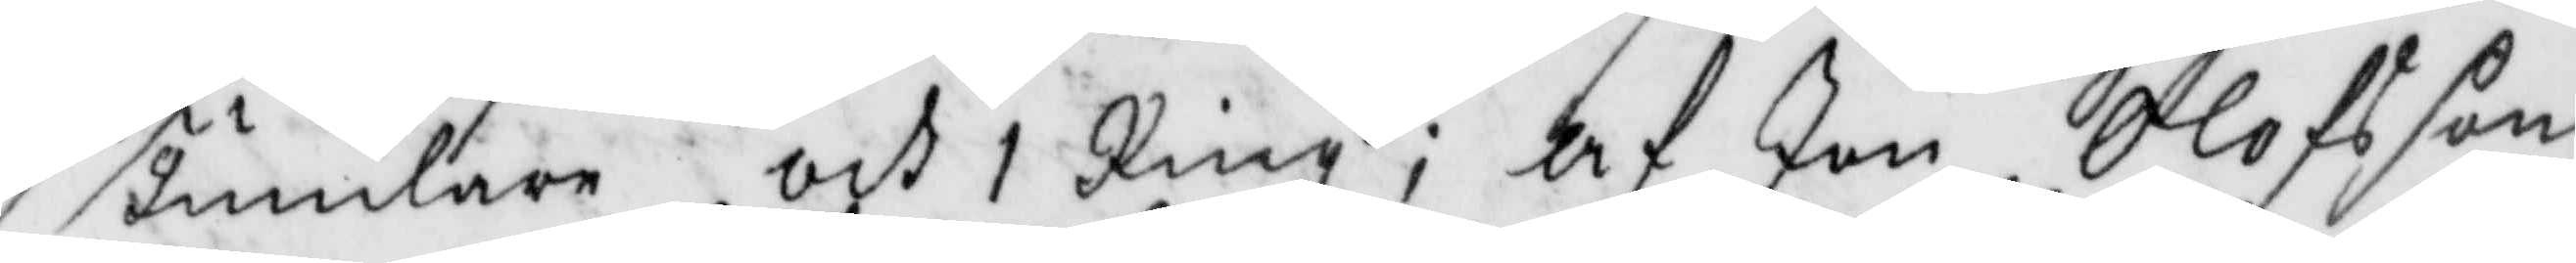Tumlare och 1 Ring; af Jon Olofsson
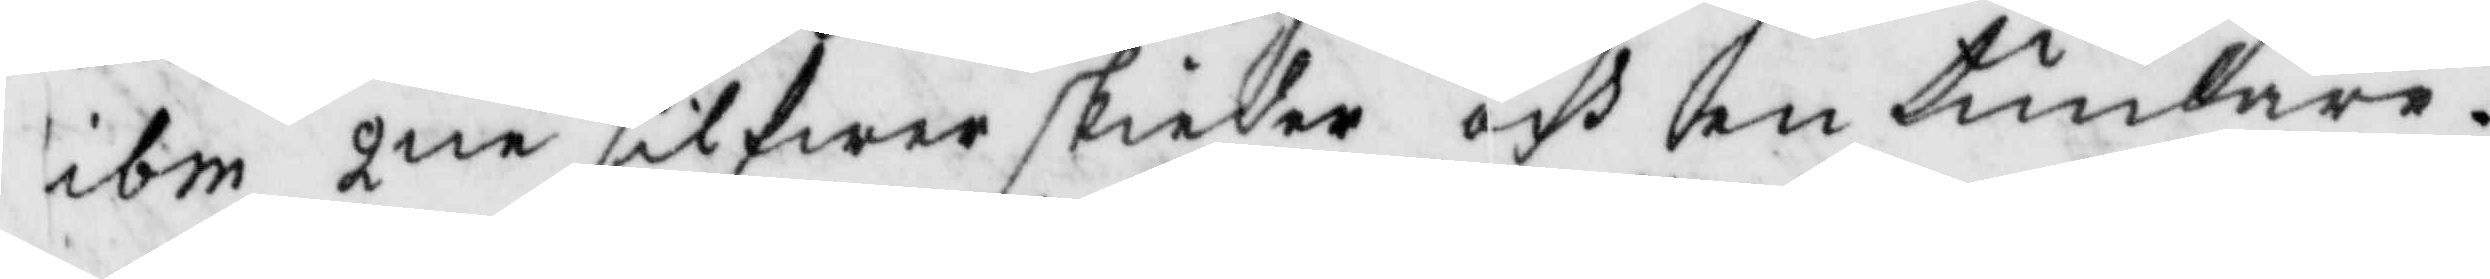ibm 2ne silfwerskiedar och en tumlare;
